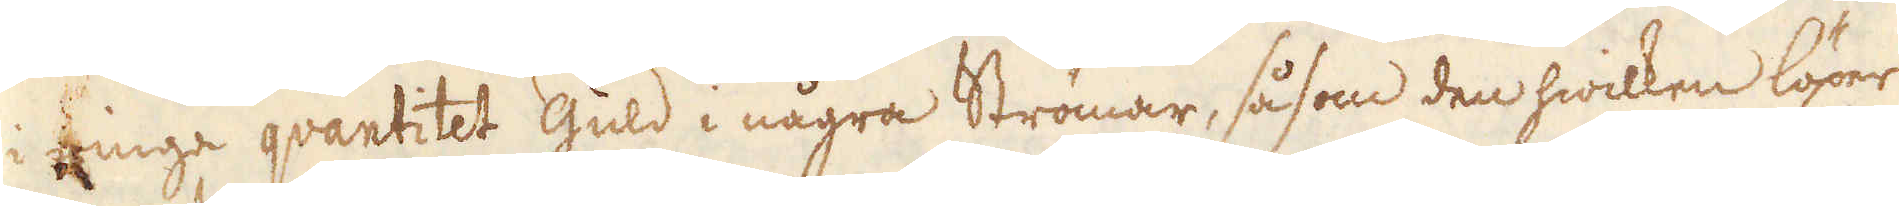i ringa quantitet Guld i några Strömar, såsom den hwilken löper
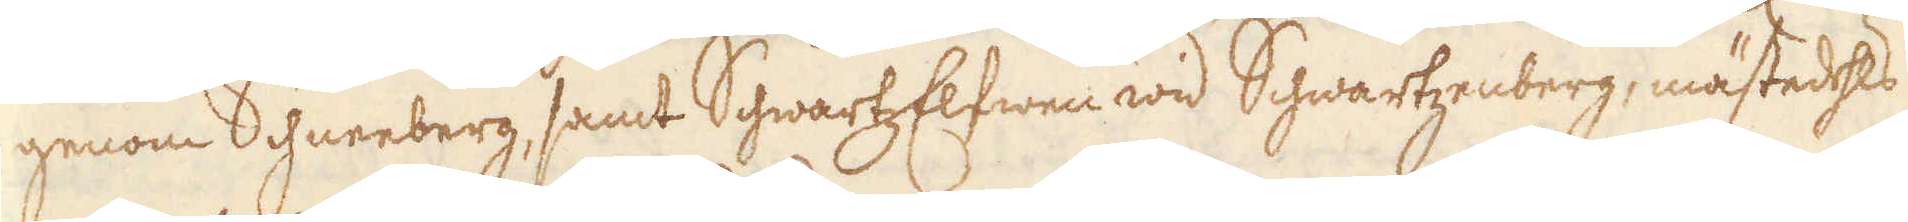genom Schneeberg, samt SchwartzElfwen wid Schwartzenberg, mästedehls
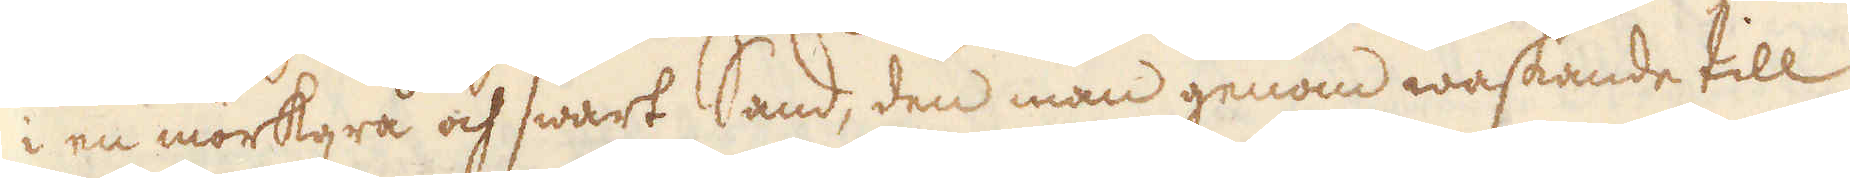i en mörkgrå och swart band, den man genom waskande till
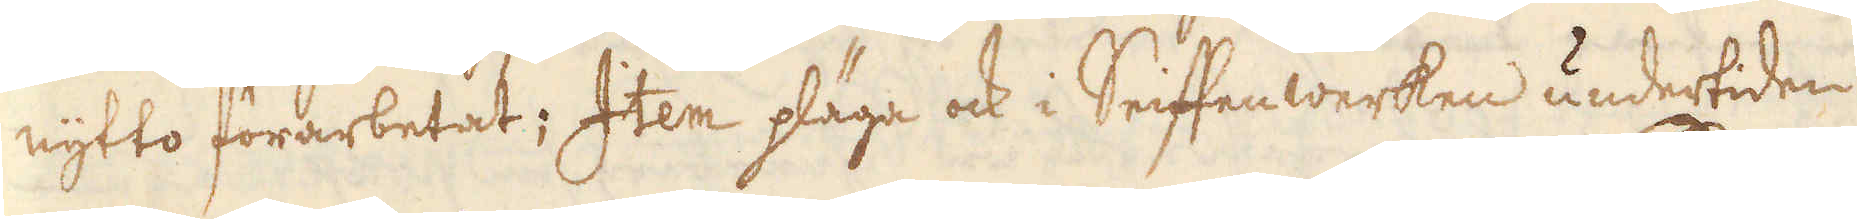nytto förarbetat; Item pläga ock i Seiftenwerken undertiden
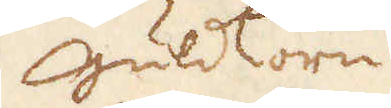Guldkorn
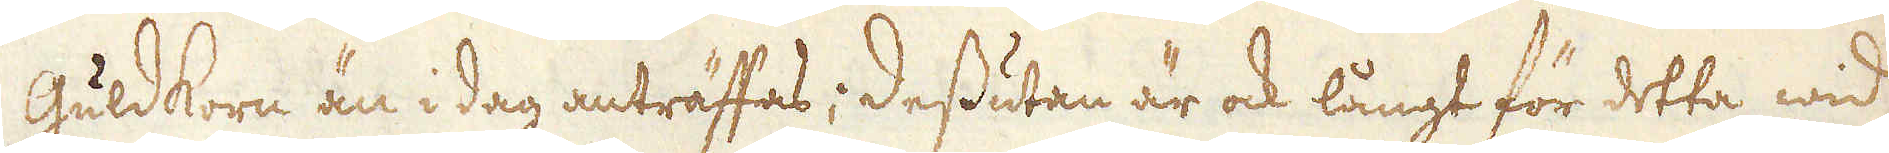Guldkorn än i dag anträffas; dessutan är ock långt för detta wid
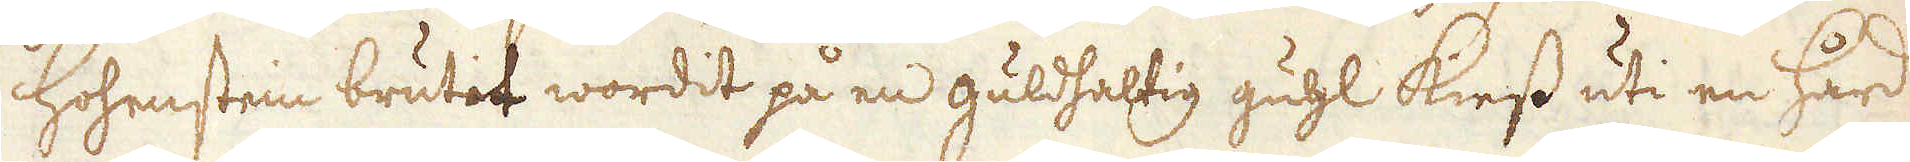hohenstein brutit wordit på en guldhahtig guhl kiess uti en hård
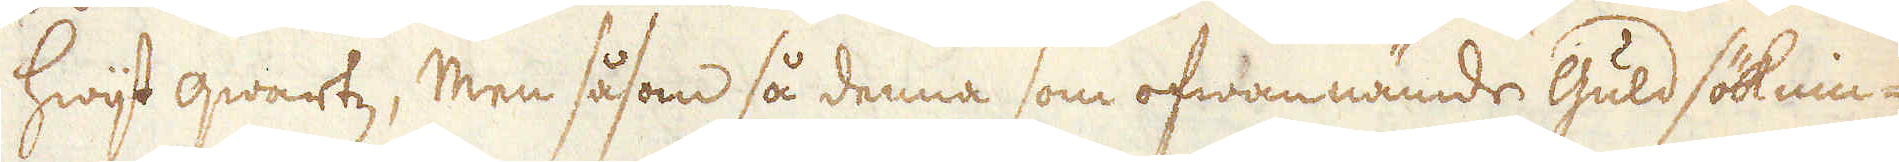hwijt qwartz; Men såsom så denna som ofwannämde Guldsöknin-
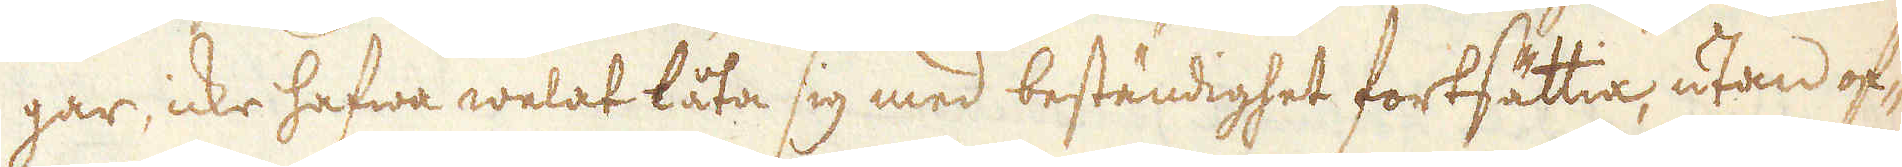gar, icke hafwa welat låta sig med beständighet fortsättia, utan of-
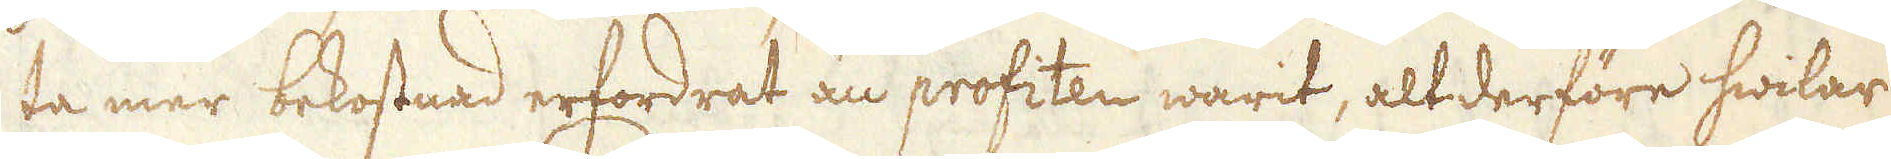ta mer bekostnad erfordrat än profiten warit, altderföre hwilar
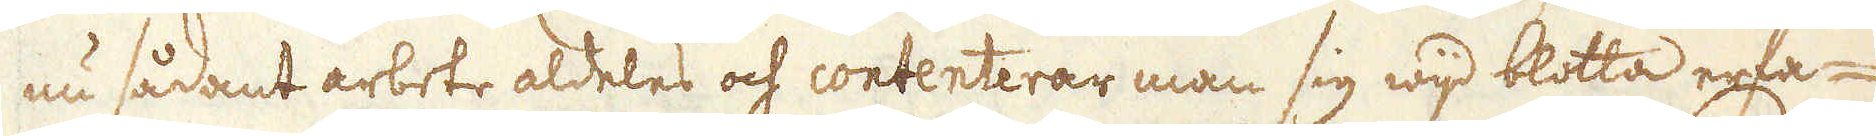nu sådant arbete aldeles och contenterar man sig wijd blotta erfa-
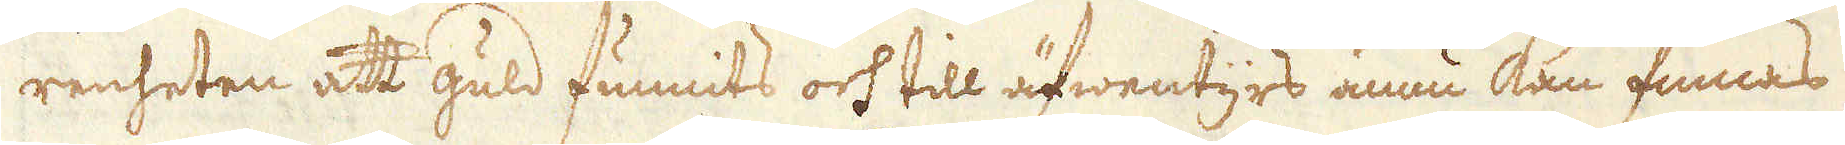renheten att guld funnits och till äfwentyrs ännu kan finnas
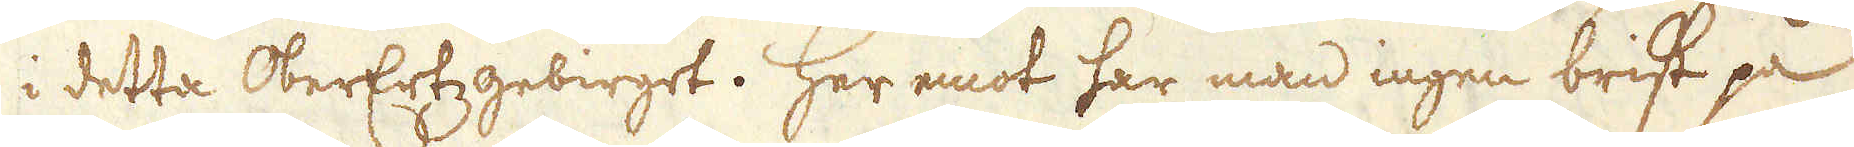i detta OberErtzgebirget. Her emot har man ingen brist på
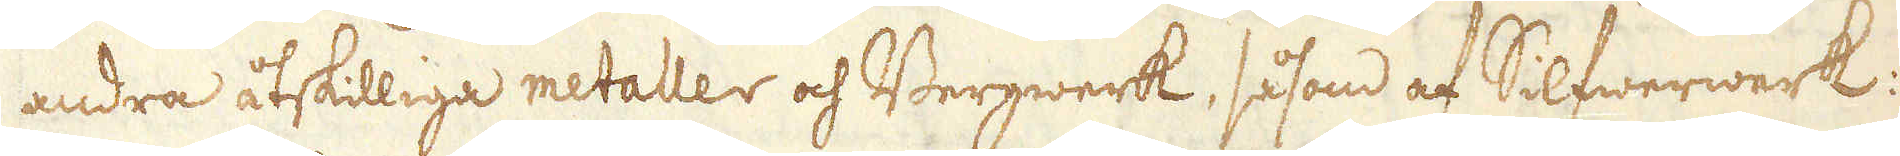andra åtskilliga metaller och Bergwerk, såsom af Silfwerwerk.
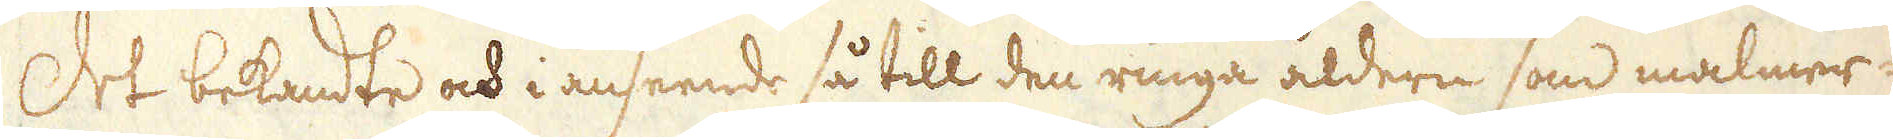Det bekandte och i anseende så till den ringa åldern som malmer-
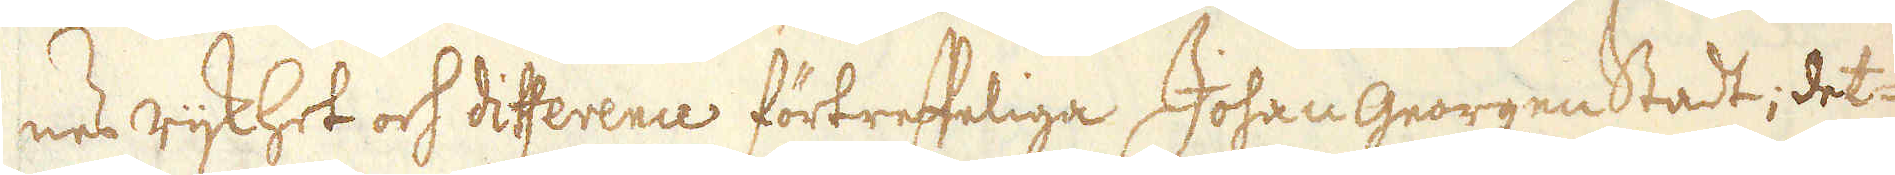nes rijkhet och difference förtreffeliga Johan Georgenstadt, det-
